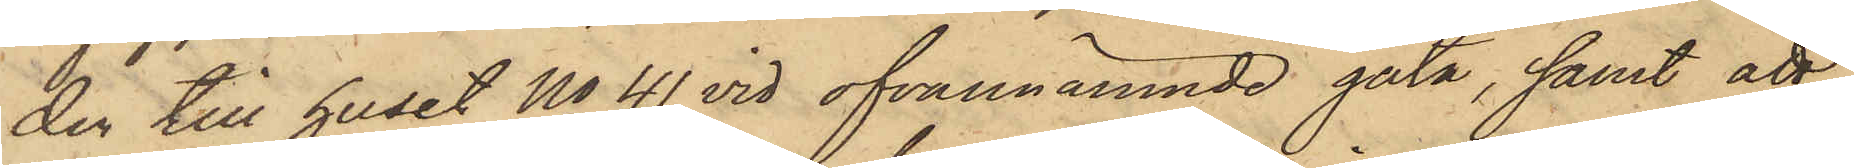den till huset No 41 vid ofvannämnde gata, samt att,
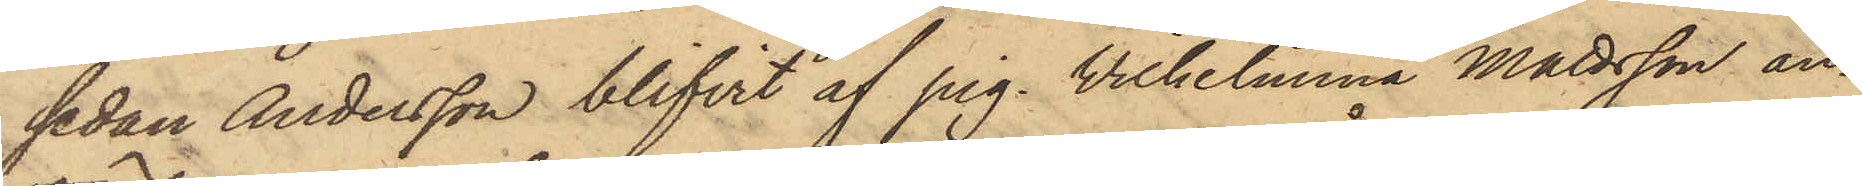sedan Andersson blifvit af pig. Vilhelmina Mattsson an¬
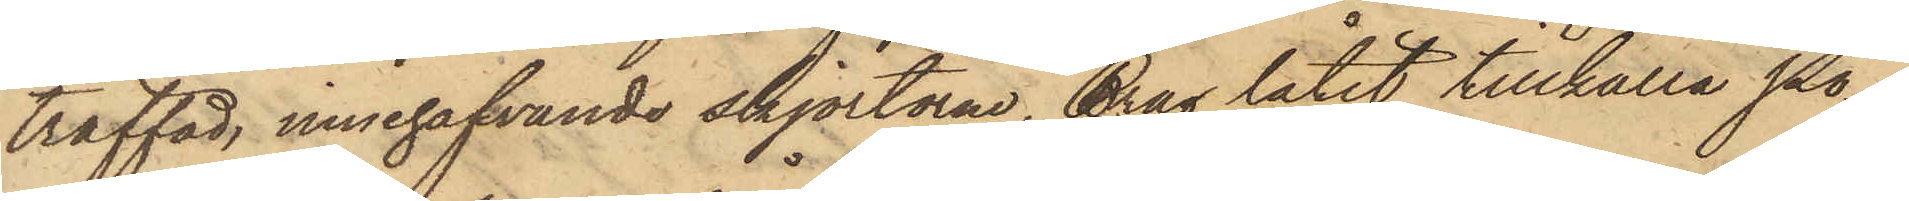träffad, innehafvande skjortorne, Brag låtit tillkalla Po¬
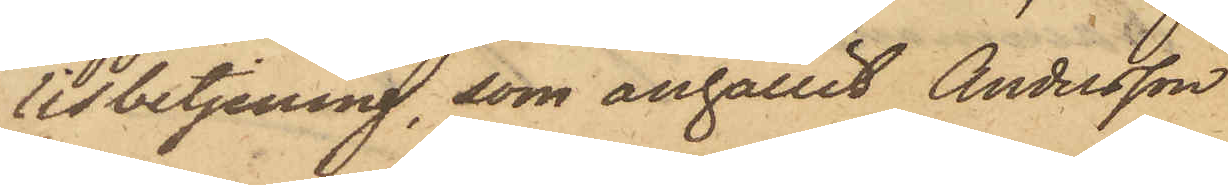lisbetjening, som anhållit Andersson.
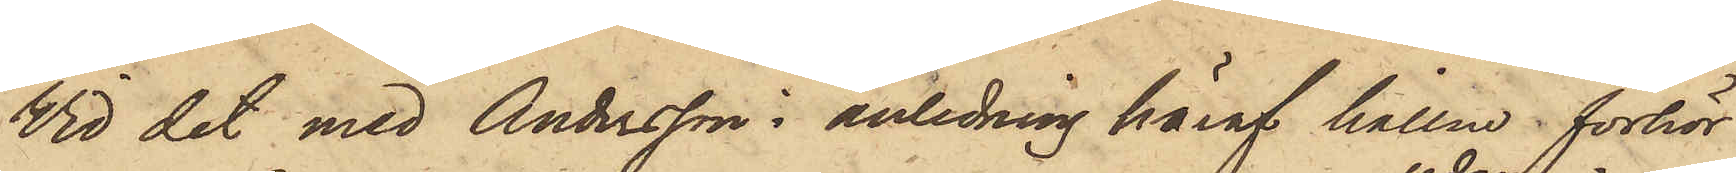Vid det med Andersson i anledning häraf hållne förhör
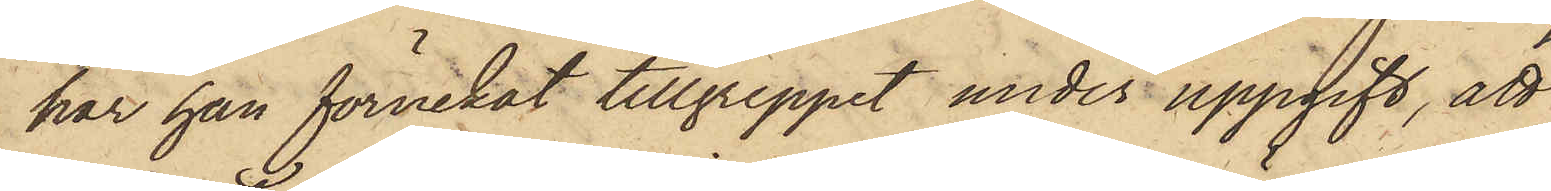har han förnekat tillgreppet under uppgift, att
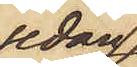sedan
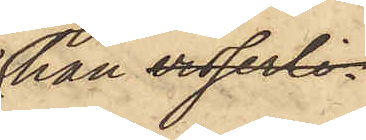han visserli¬
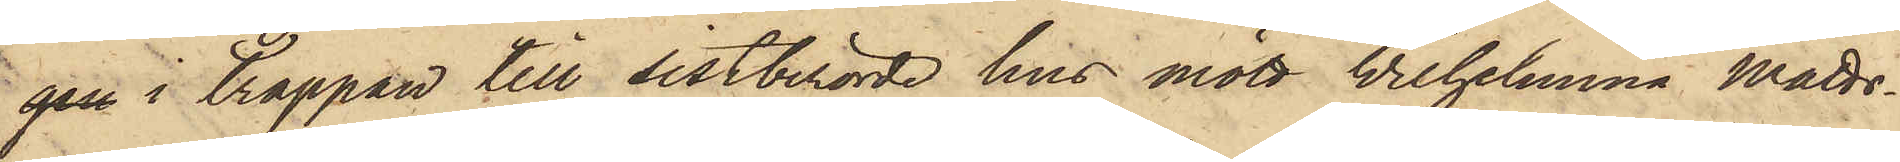gen i trappan till sistberörde hus mött Wilhelmina Matts¬
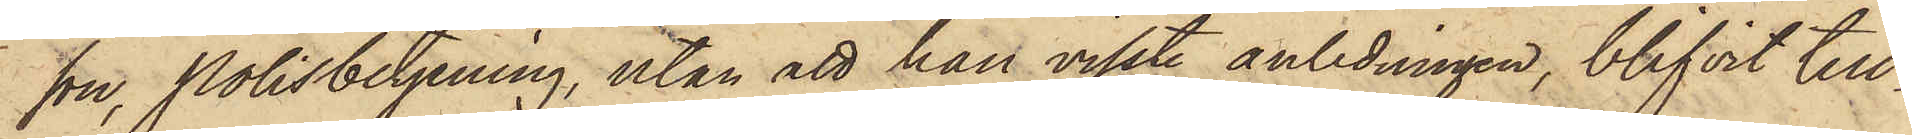son, Polisbetjening, utan att han visste anledningen, blifvit till¬
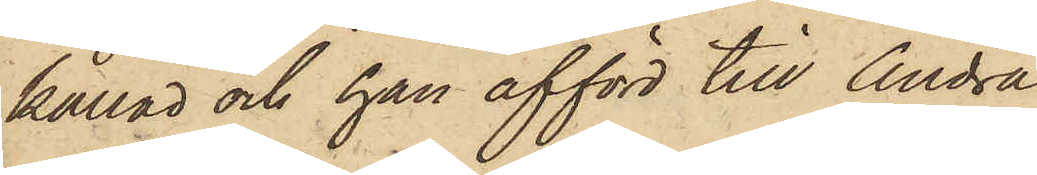kallad och han afförd till Andra
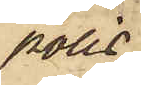polis¬
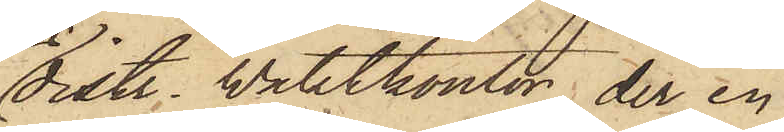distr. Waktkontor, der en
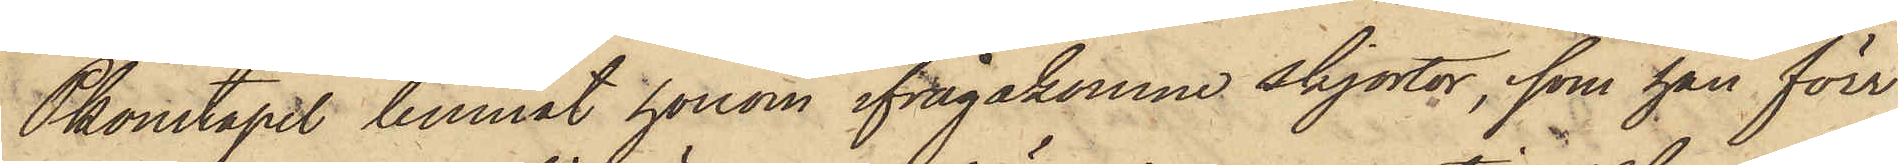Pkonstapel lemnat honom ifrågakomne skjortor, som han förr
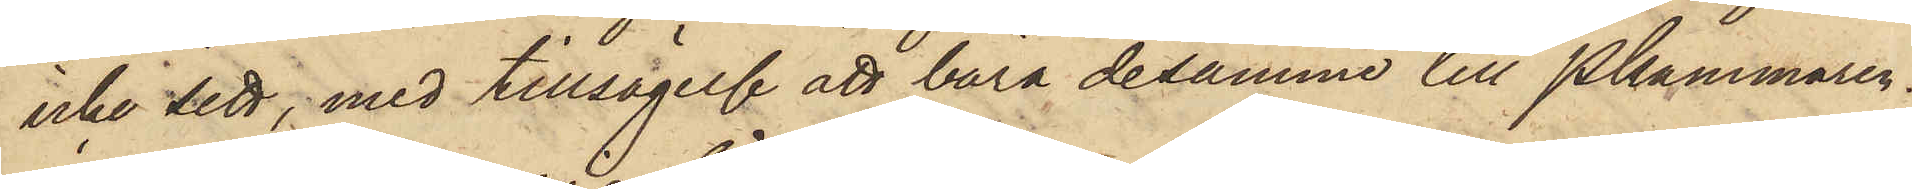icke sett, med tillsägelse att bära desamme till Pkammaren.
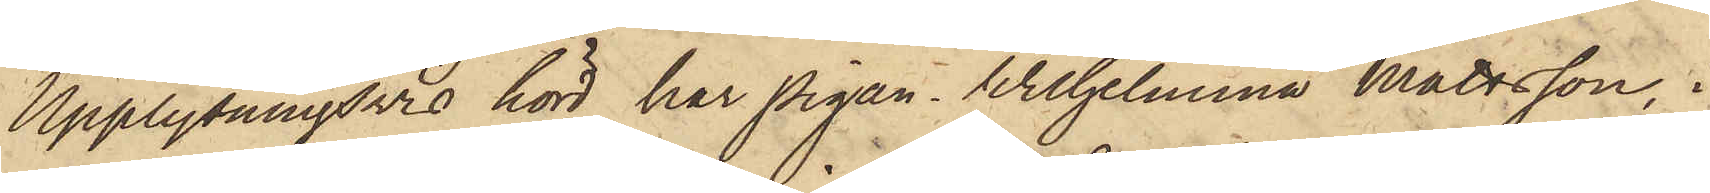Upplysningsvis hörd har Pigan Wilhelmina Mattsson, i
